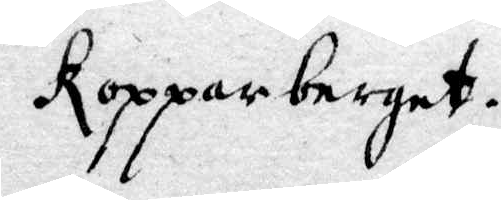Kopparberget.
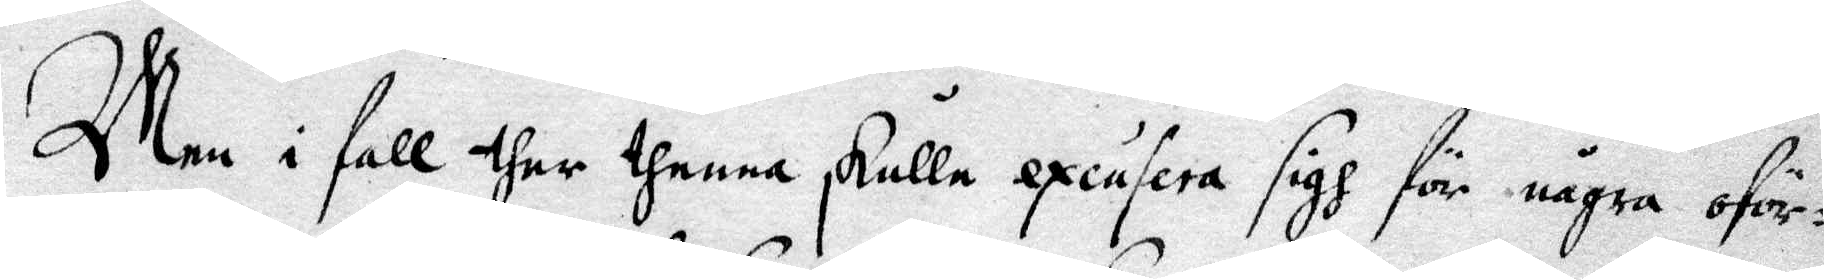Men i fall ther thenna skulle excusera sigh för några oför¬
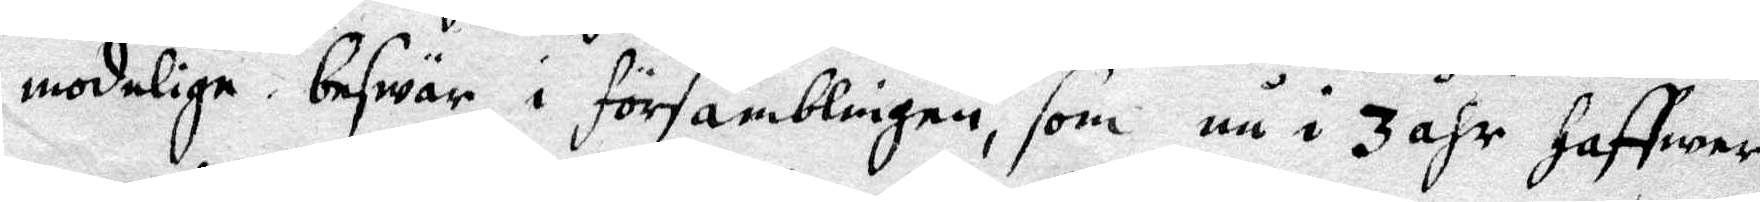modelige beswär i församblingen, som nu i 3 åhr haffwer
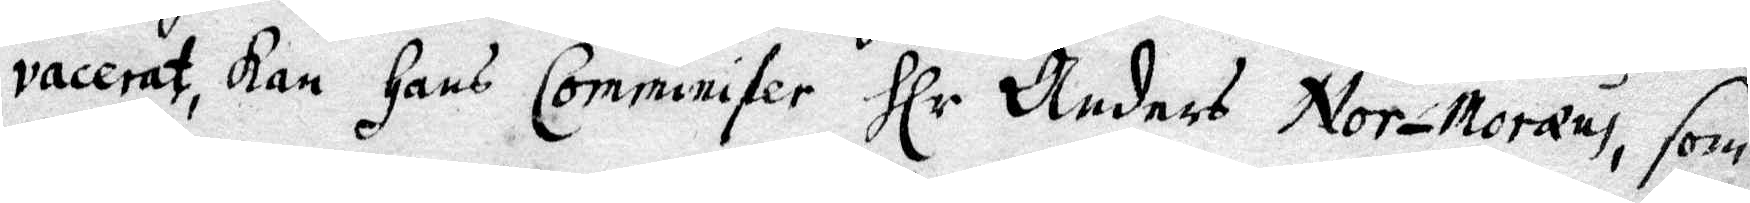vacerat, kan Hans Comminister Hlr Anders Nor-Moræus, som
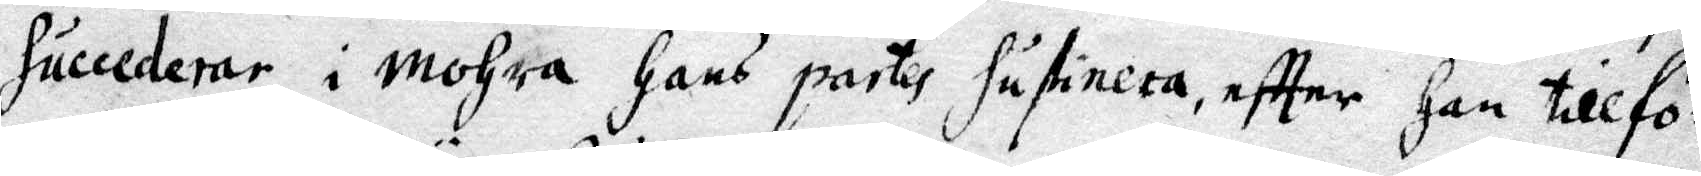Succederar i Mohra Hans partes Sustinera, eftter Han tillfö¬
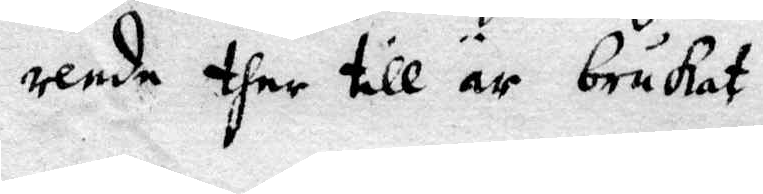rende ther till är brukat.
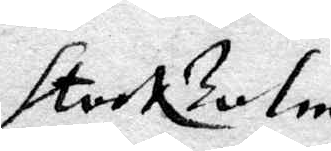Stockholm
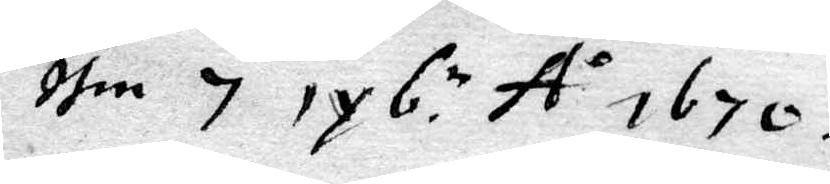then 7 iyb.n Ao 1670
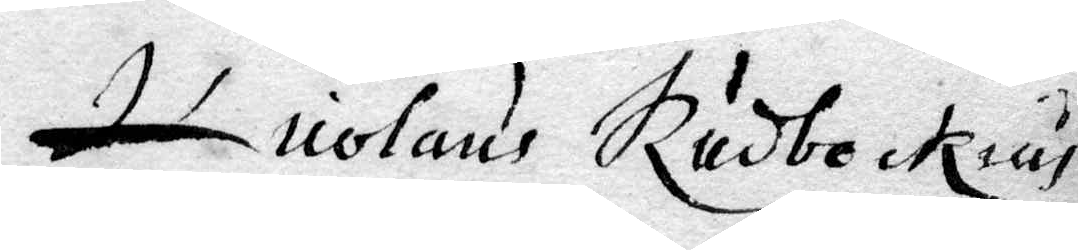Nicolaus Rudbeckius
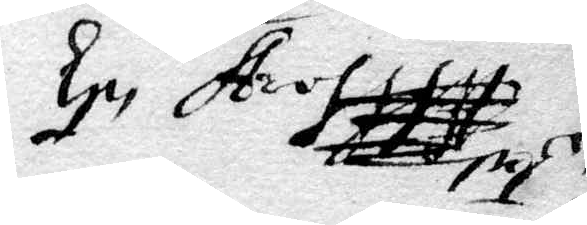Ep Stroh
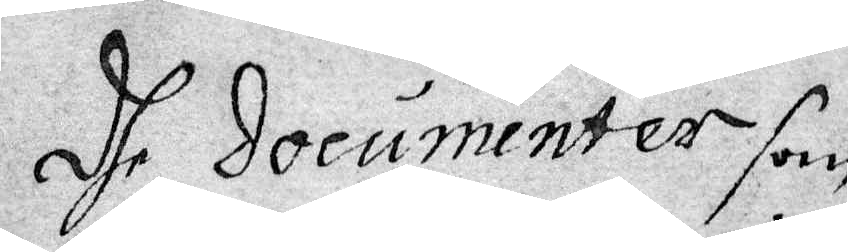Dhe Documenter som
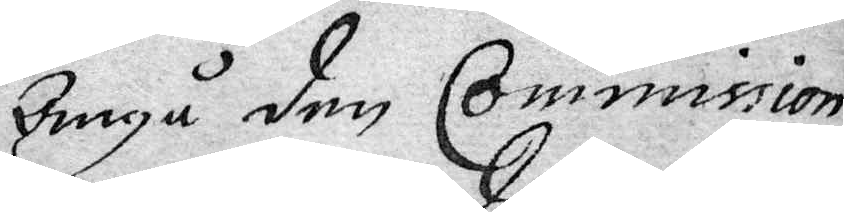Angå den Commission
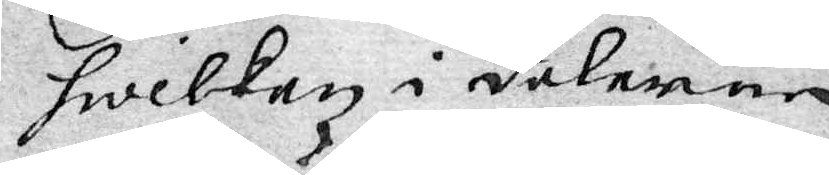hwilken i Dalarna
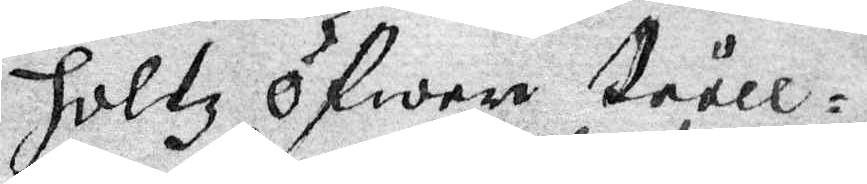holtz öfwer tråll¬
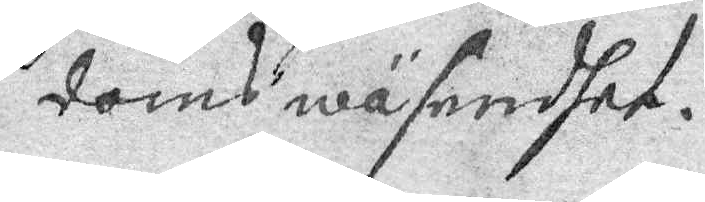doms wäsendet.
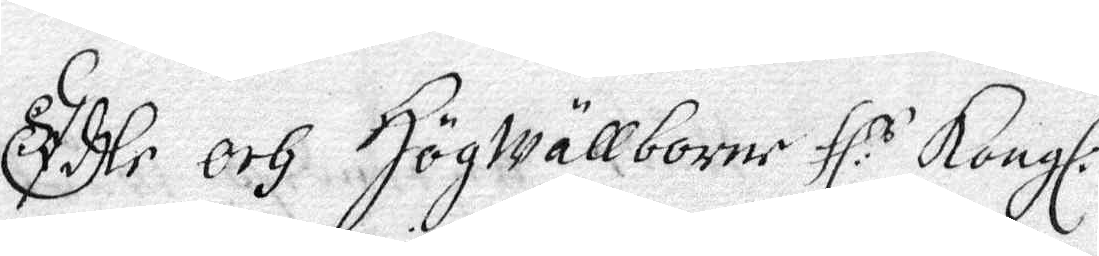Edle och Högwällborne Hl:s Kongl:
